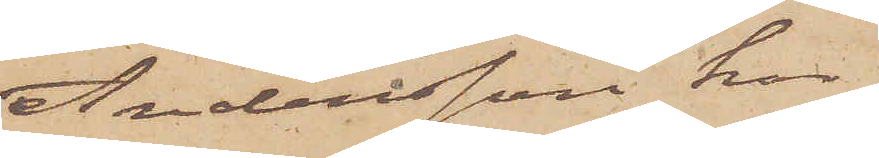Andersson har
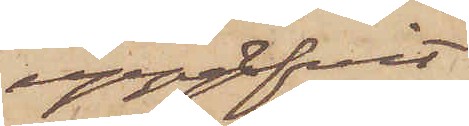uppgifvit
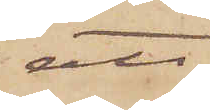att
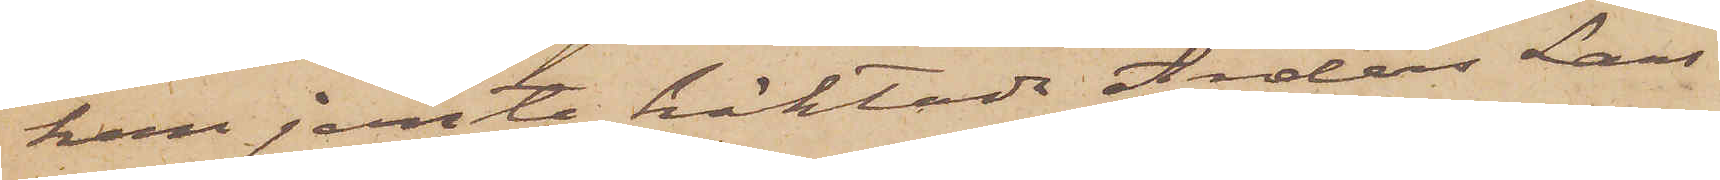han jemte häktade Anders Lars¬
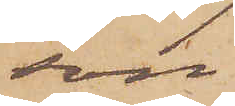son
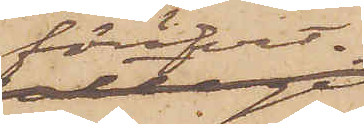föröfvat
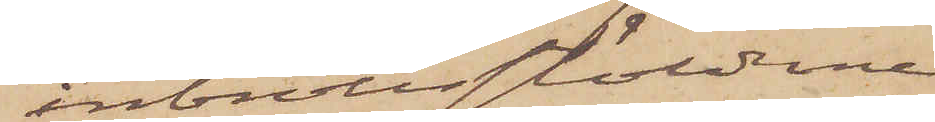inbrottsstöldena
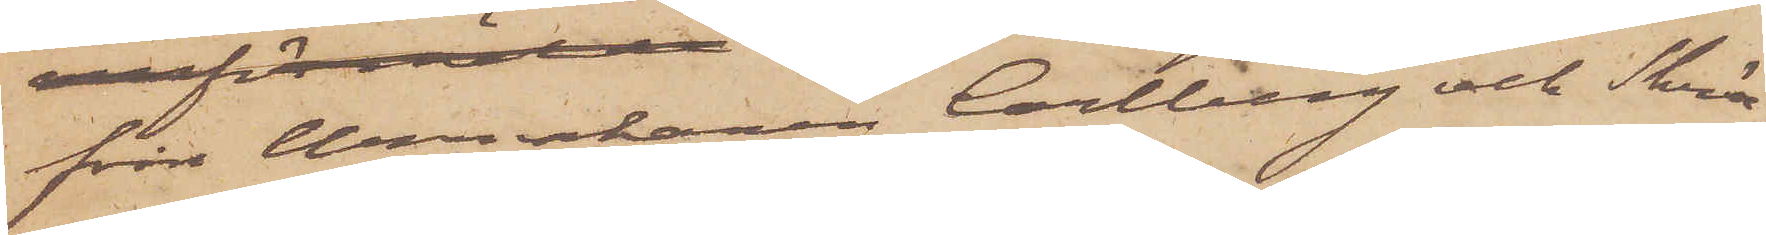från Urmakaren Carlberg och Skräd¬
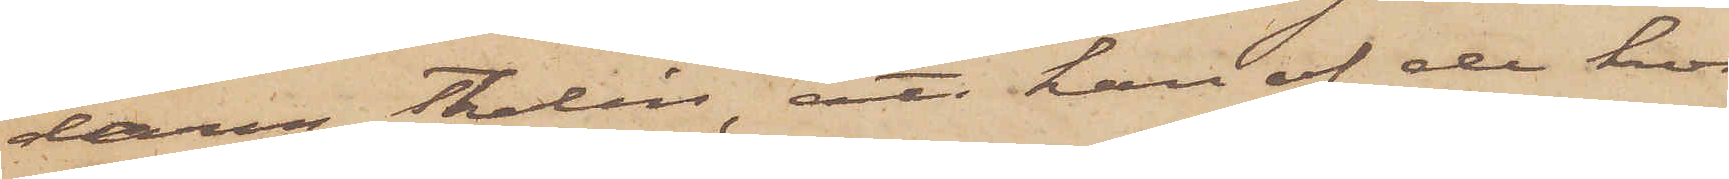daren Thalén, att han af de hos
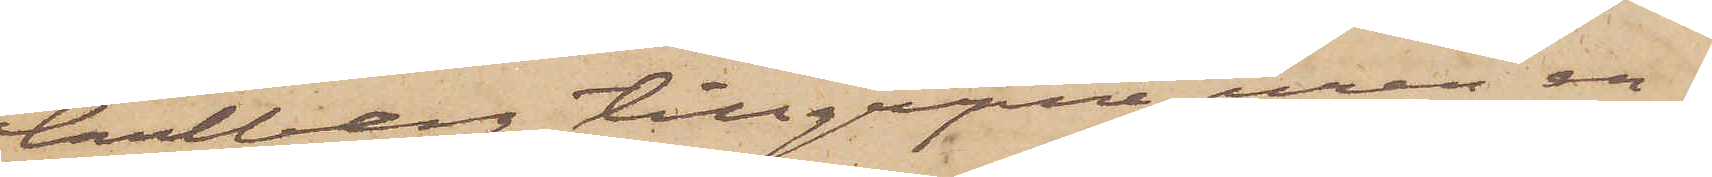Carlberg tillgripne uren en¬
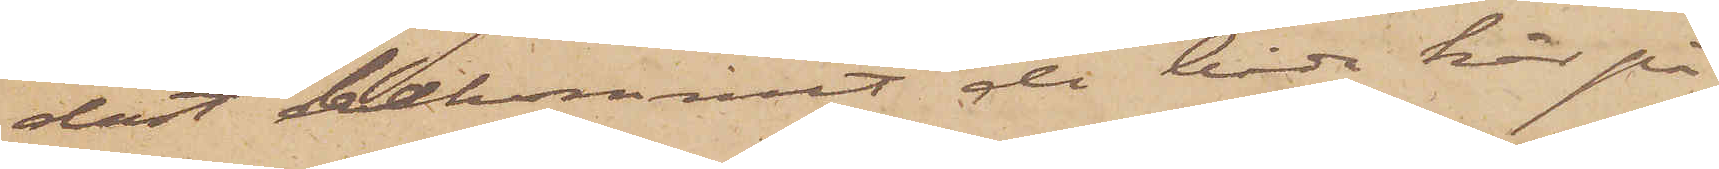dast bekommit de båda här på
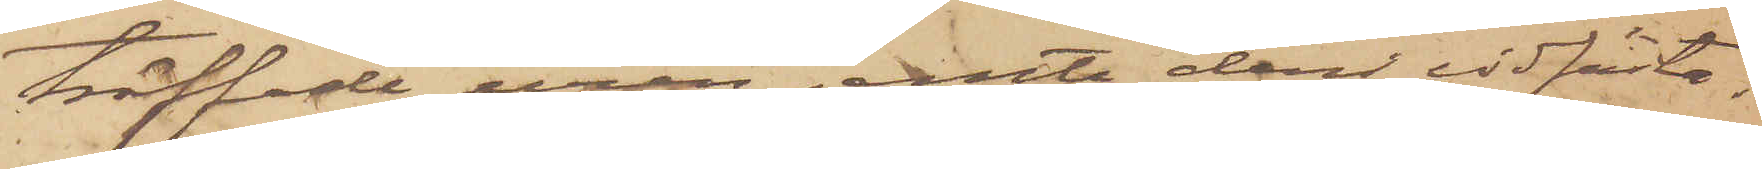träffade uren jemte deri vidfästa¬
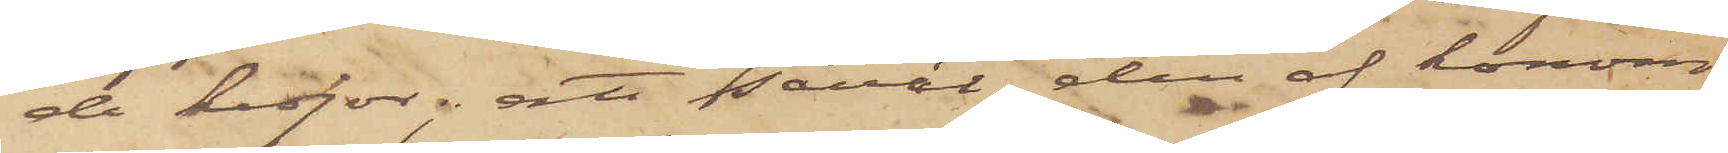de kedjor; att såväl den af honom
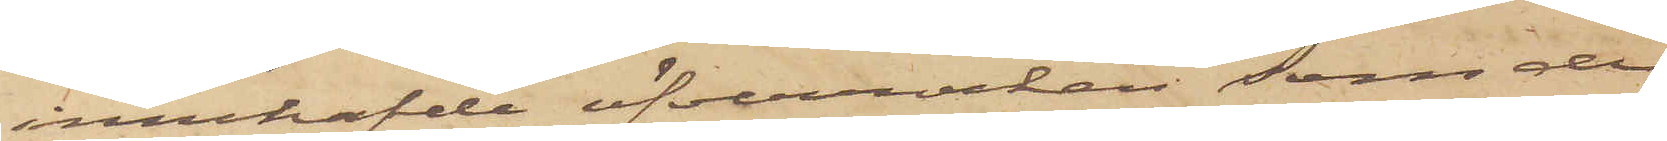innehafde öfverrocken, som de
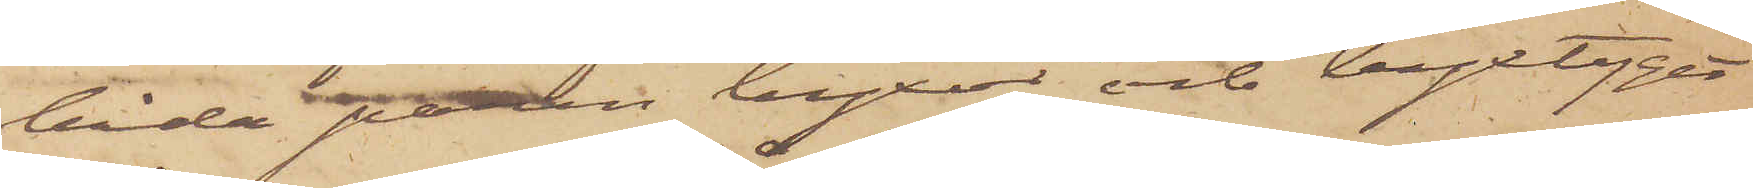båda paren byxor och byxtyget
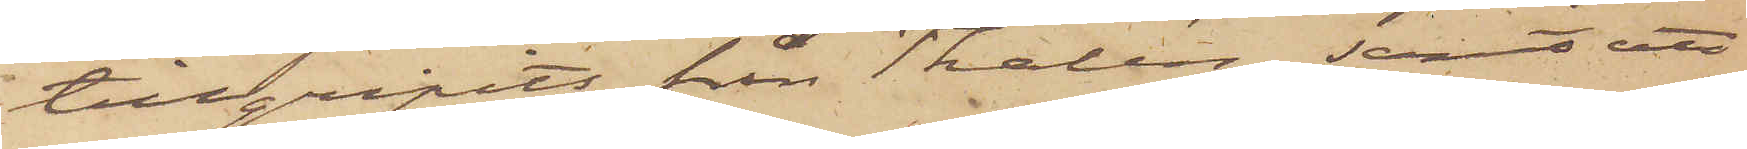tillgripits från Thalén, samt att
